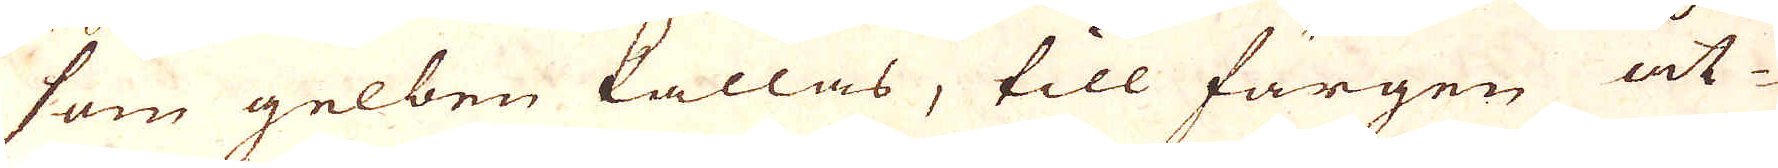som gelben kallas, till färgen åt-
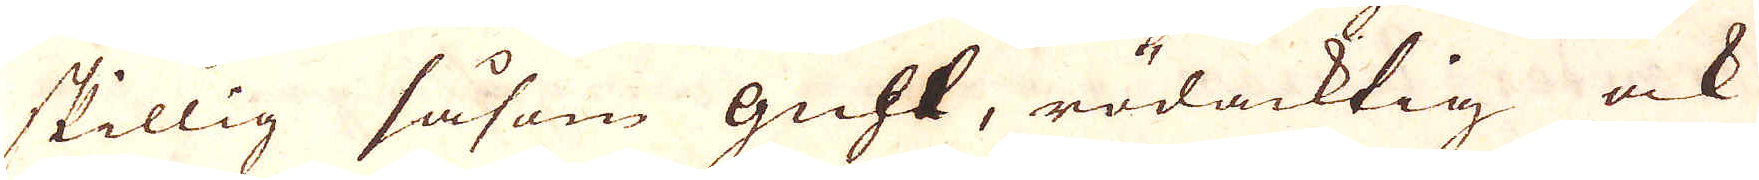skillig såsom guhl, rödacktig ock
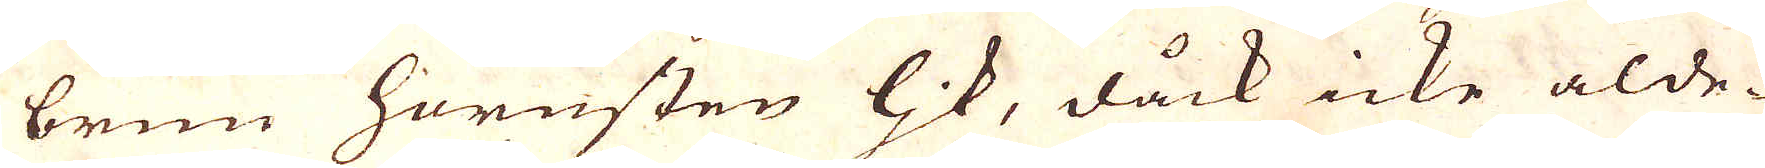brun hörnsten lik, dåck icke alde-
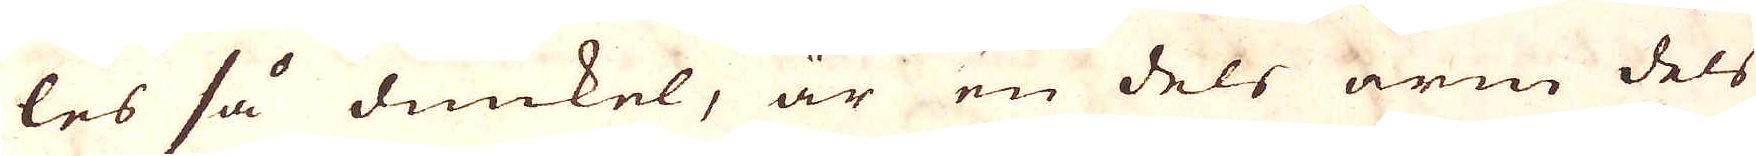les så dunkel, är en dels arm dels
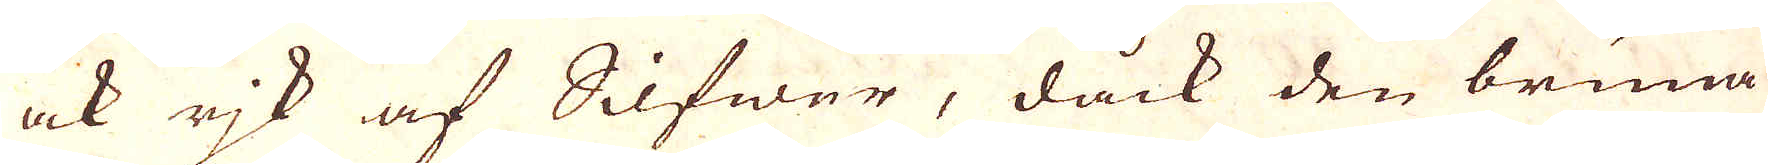ock rjk af Silfwer, dåck den bruna
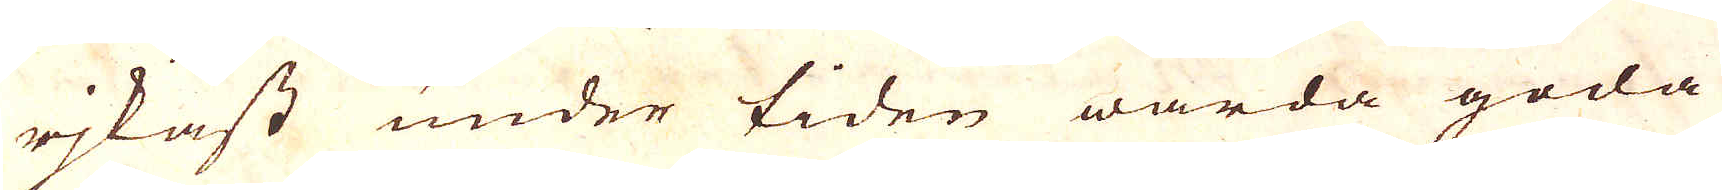rjkast under tiden warda goda
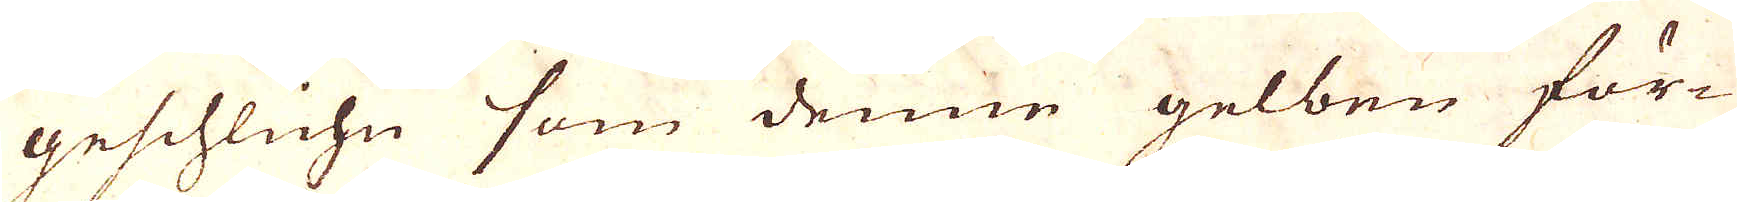geschluhn som denne gelben för-
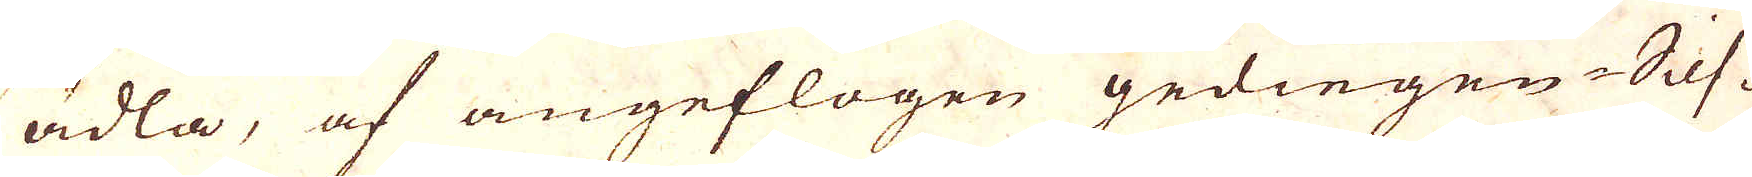ädla, af angeflogen gediegen Silf-
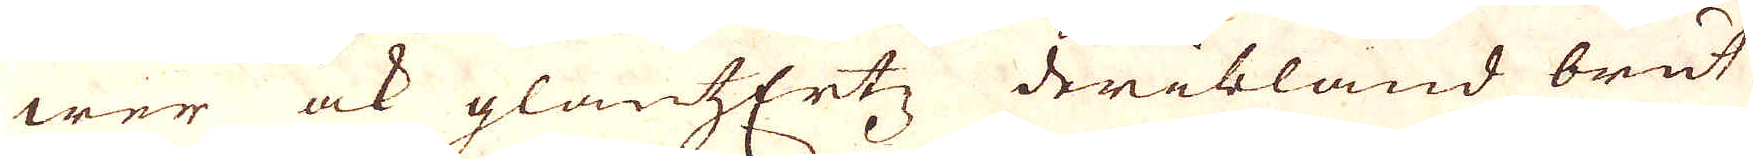wer ock glansErtz, deribland brut-
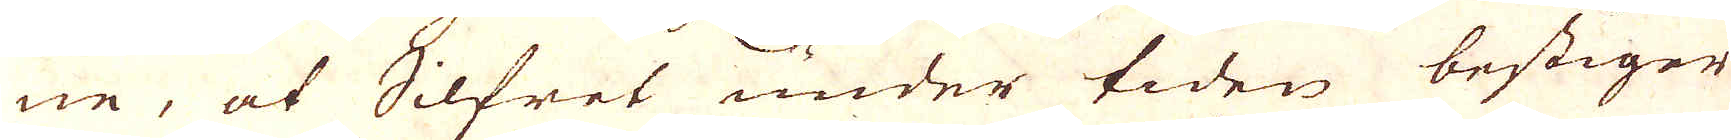ne, at Silfret under tiden bestiger
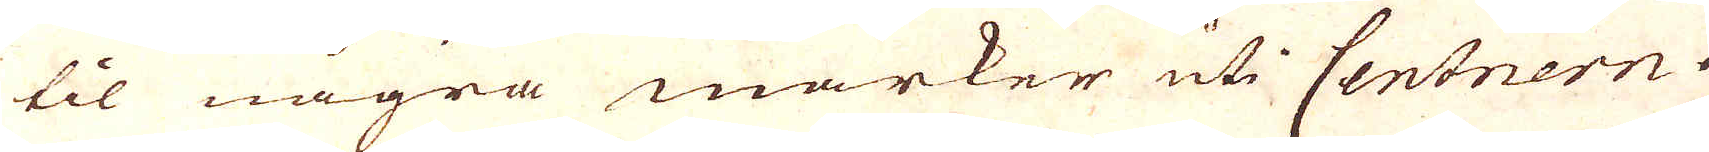til några marker uti Centnern.
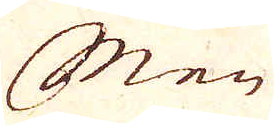Men
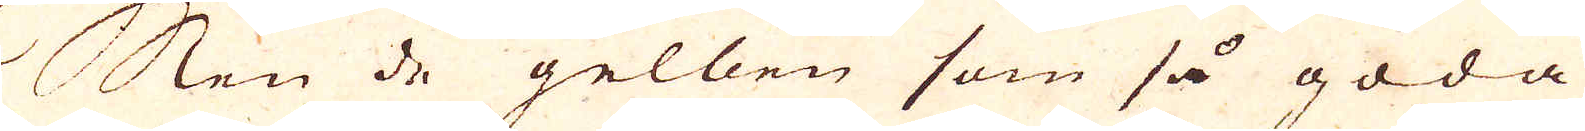Men de gelben som så goda
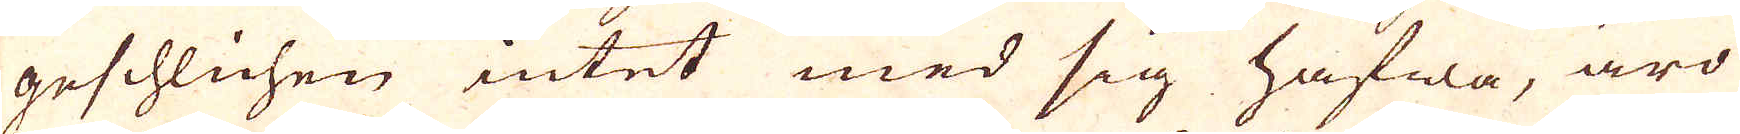geschlichen intet med sig hafwa, äro
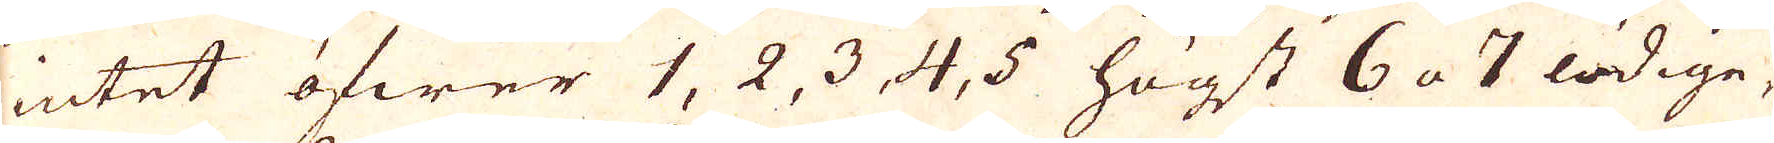intet öfwer 1, 2, 3, 4, 5 högst 6 a 7 lödige,
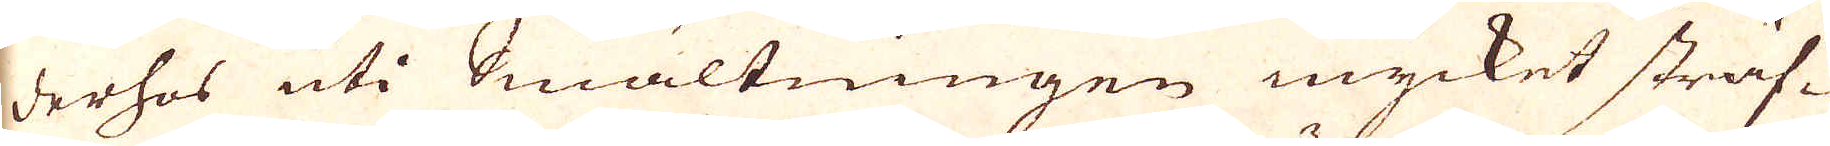derhos uti Smältningen mycket sträf-
